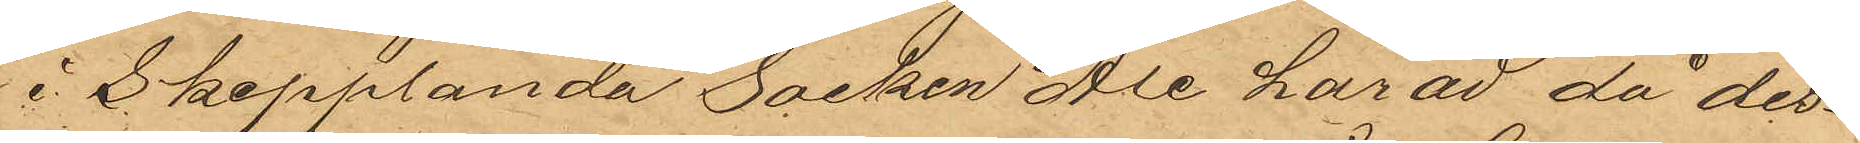i Skepplanda Socken Ale härad då des¬
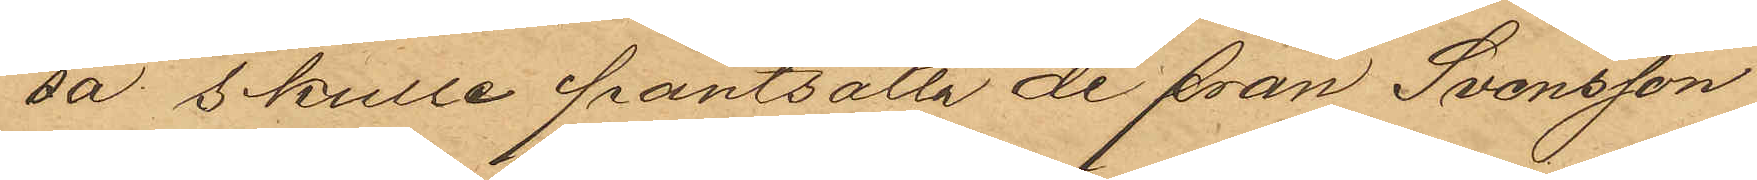sa skulle pantsätta de från Svensson
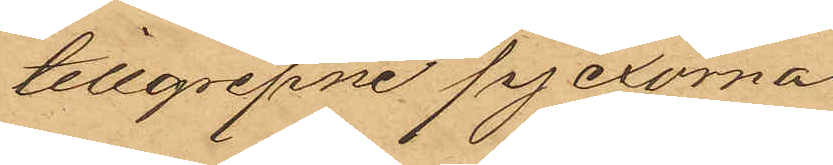tillgripne pjexorna.
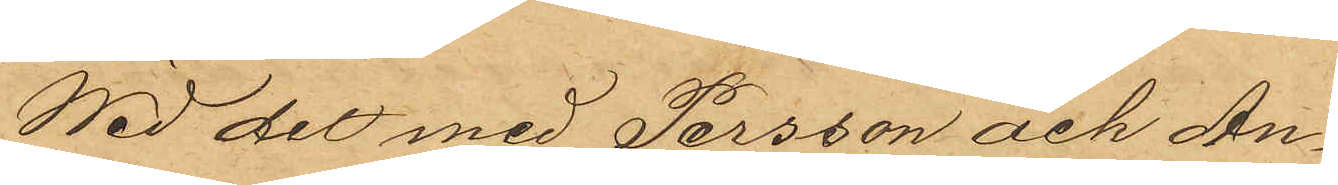Wid det med Persson och An¬
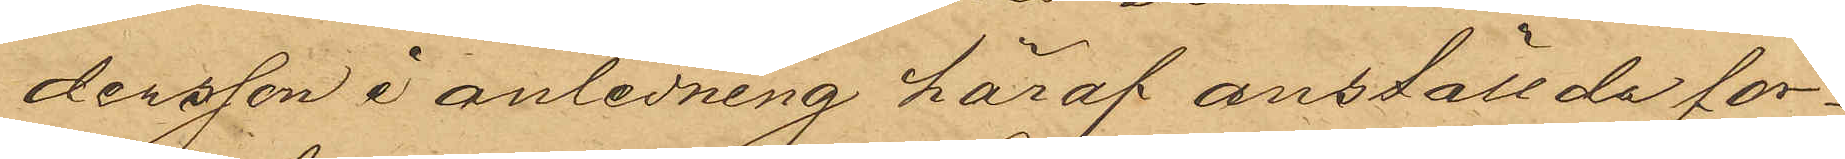dersson i anledning häraf anställde för¬
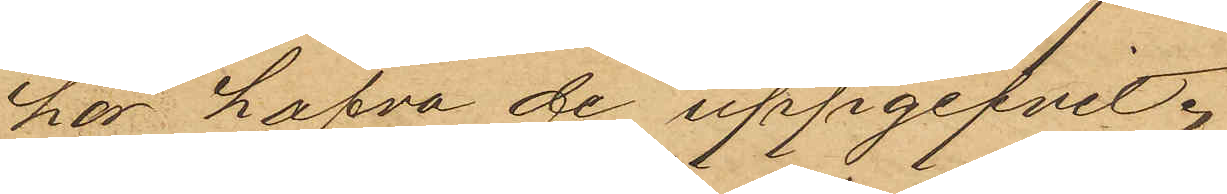hör hafva de uppgifvit
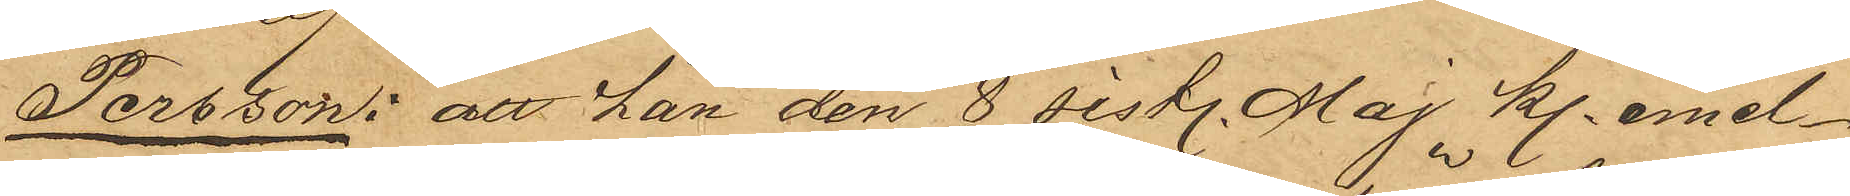Persson: att han den 8 sist. Maj kl. emel¬
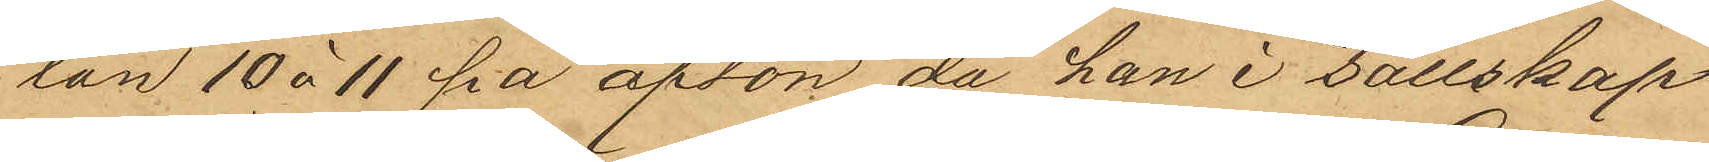lan 10 à 11 på afton, då han i sällskap
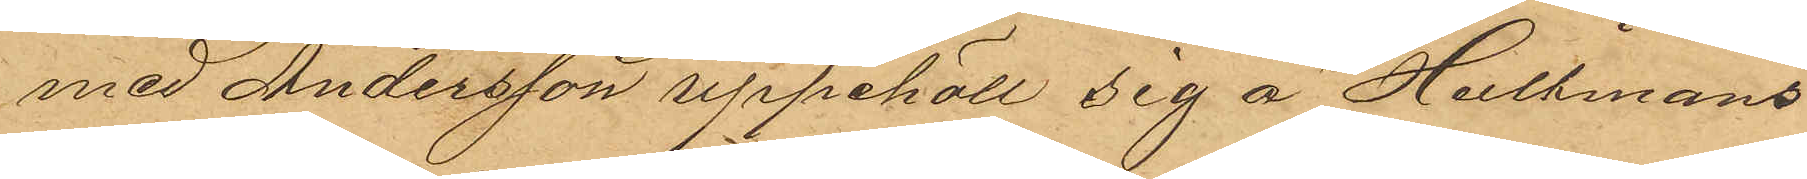med Andersson uppehöll sig å Hultmans
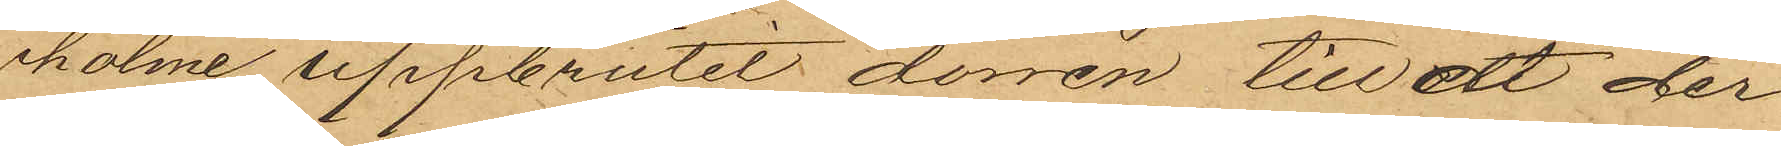holme, uppbrutit dörren till ett der¬
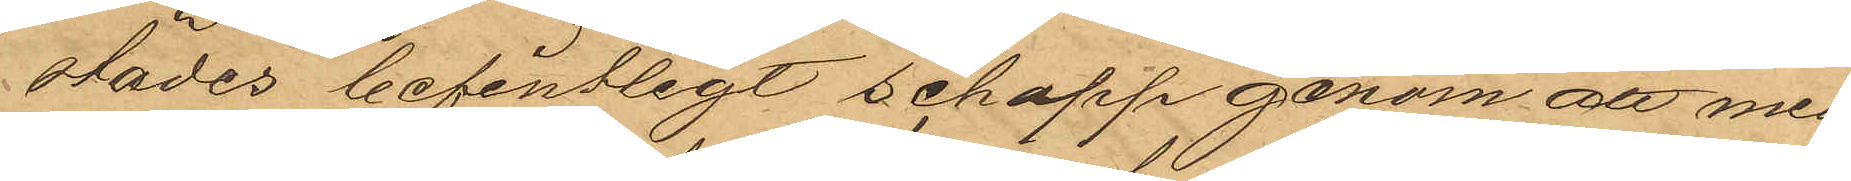städes befintligt schapp genom att med
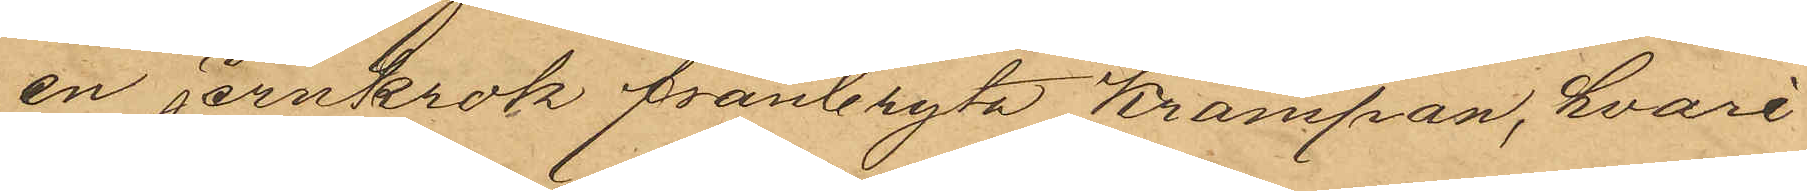en jernkrok frånbryta krampan, hvari
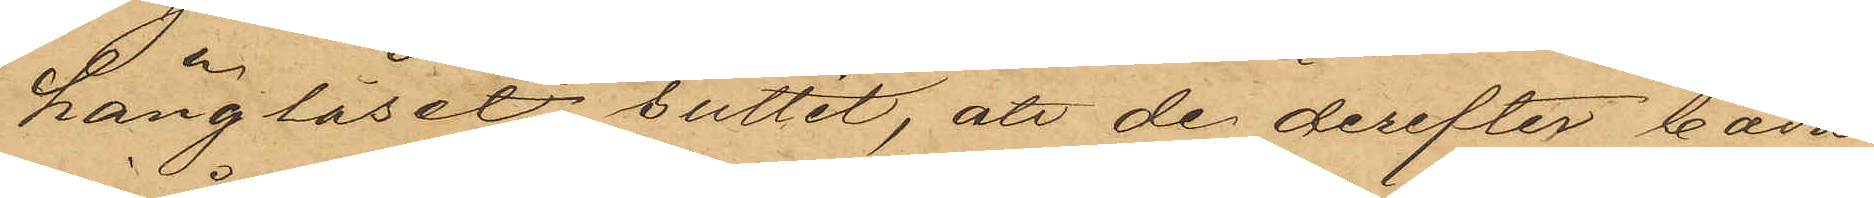hänglåset suttit, att de derefter båda
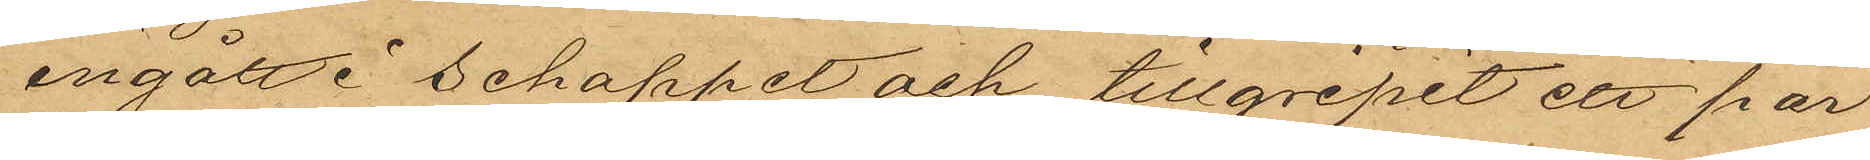ingått i schappet och tillgripit ett par
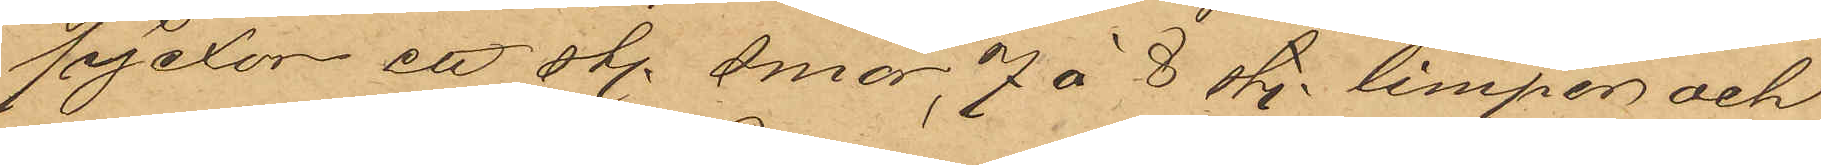pjexor, ett sty. smör,  7 à 8 sty. limpor och
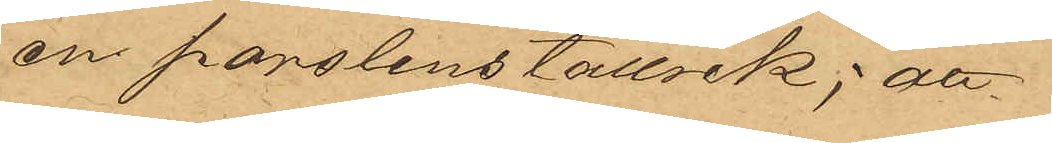en porslinstallrik; att
